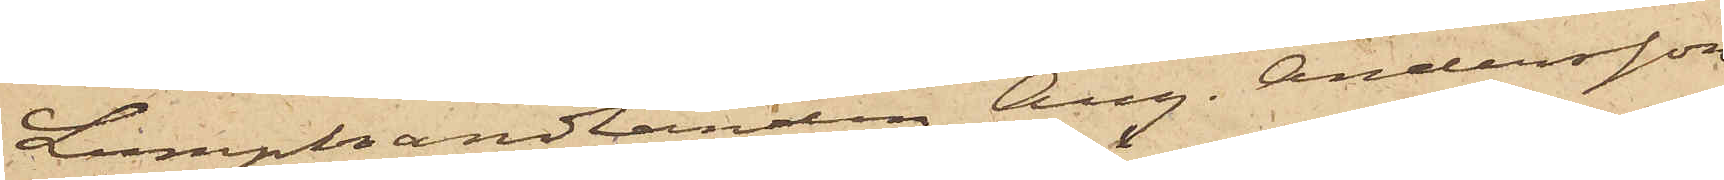Lumphandlanden Aug. Andersson,
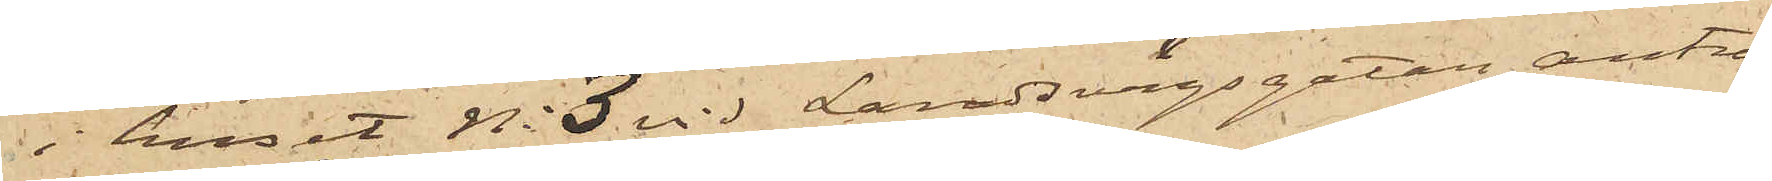i huset No 3 vid Landsvägsgatan anträ¬
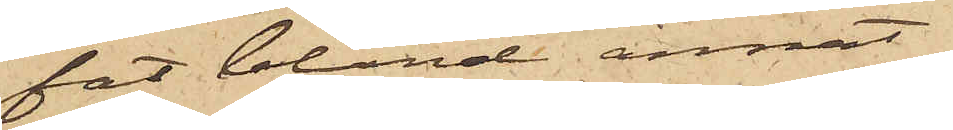fat bland annat
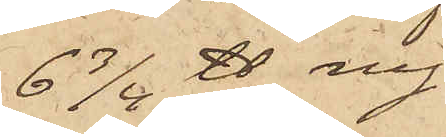6 3/4 ℔ ny
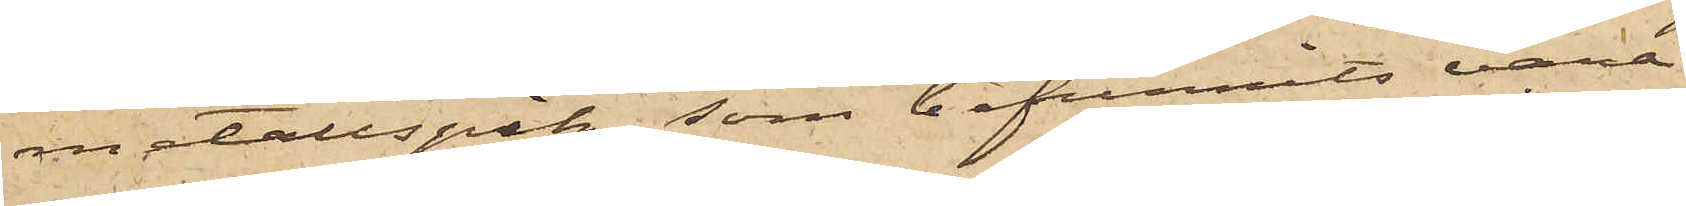metallspik, som befunnits vara
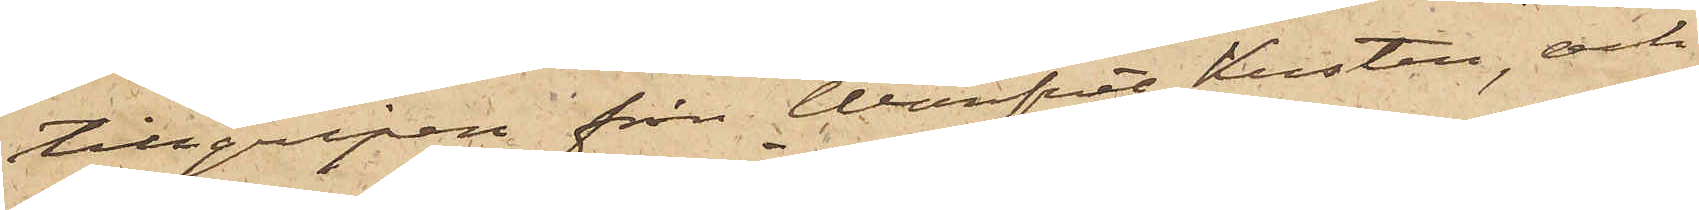tillgripen från Warfvet Kusten, och
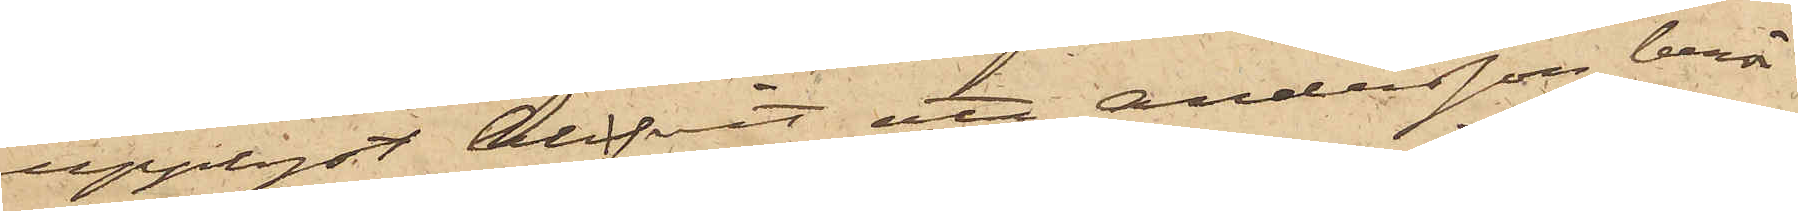upplyst blifvit att Andersson berör¬
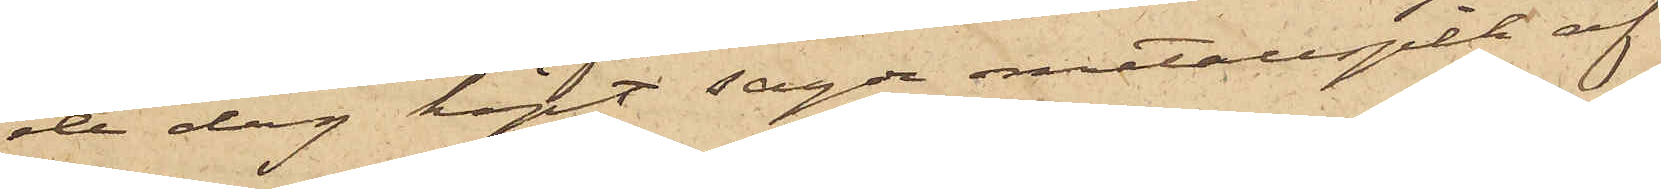de dag köpt sagde metallspik af
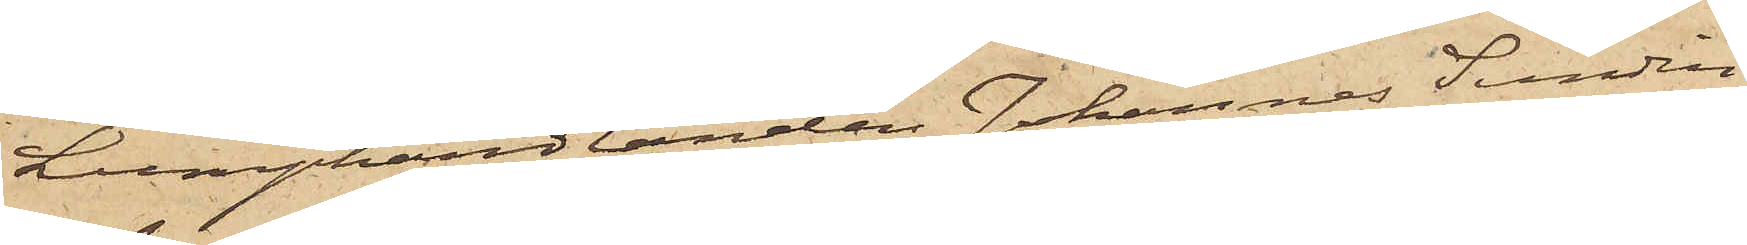Lumphandlanden Johannes Sandin
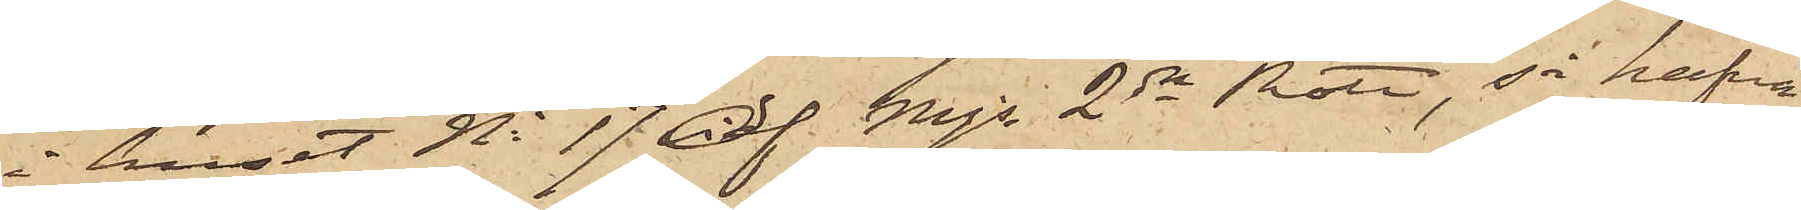i huset No 17 af Mjs 2dra Rote, så hafva
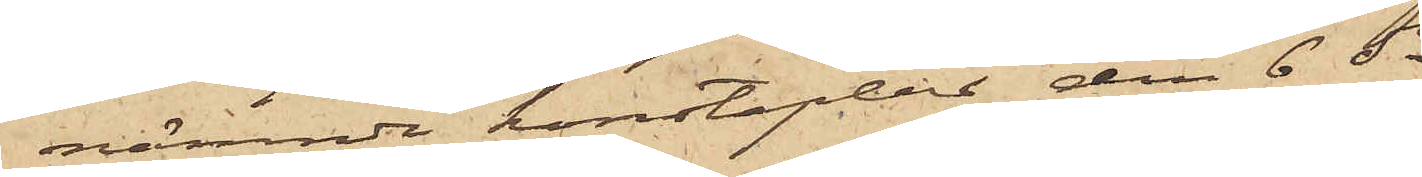nämnde konstaplar den 6 ds
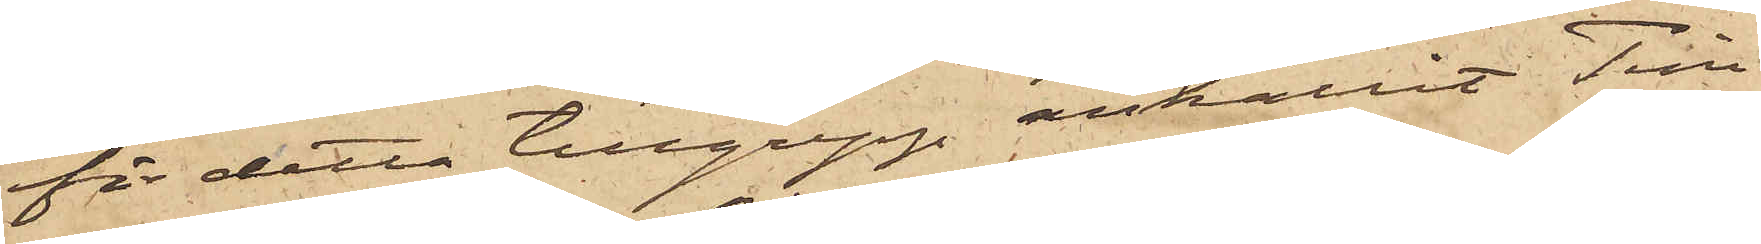för detta tillgrepp anhållit Tim¬
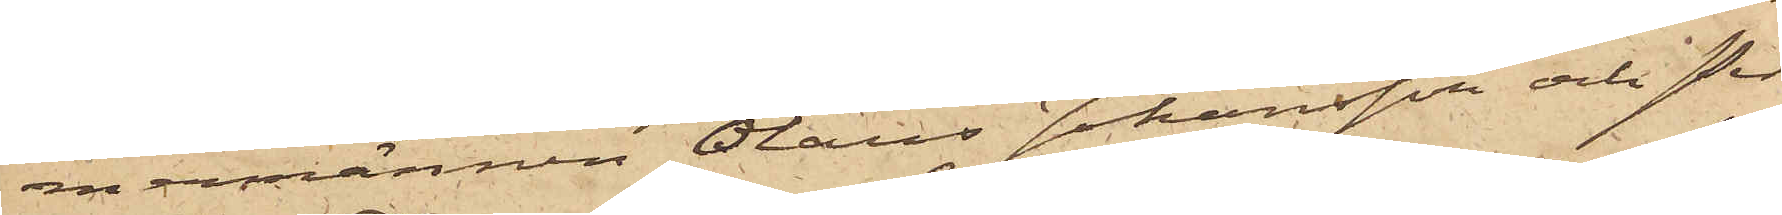mermännen Olaus Johansson och Per
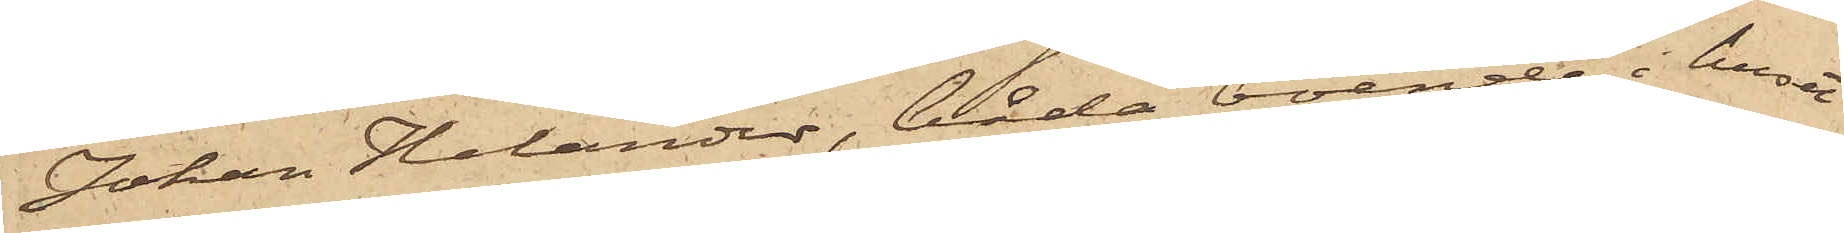Johan Helander, båda boende i huset
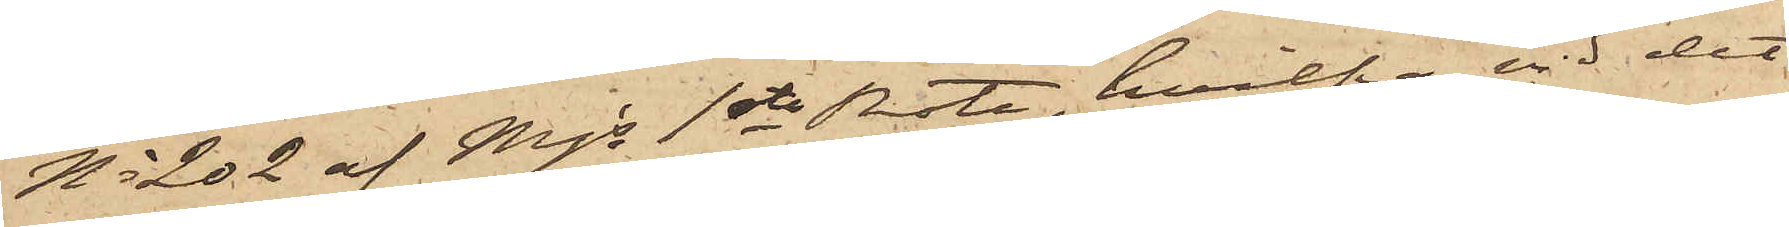No 202 af Mjs 1ste Rote, hvilka vid det
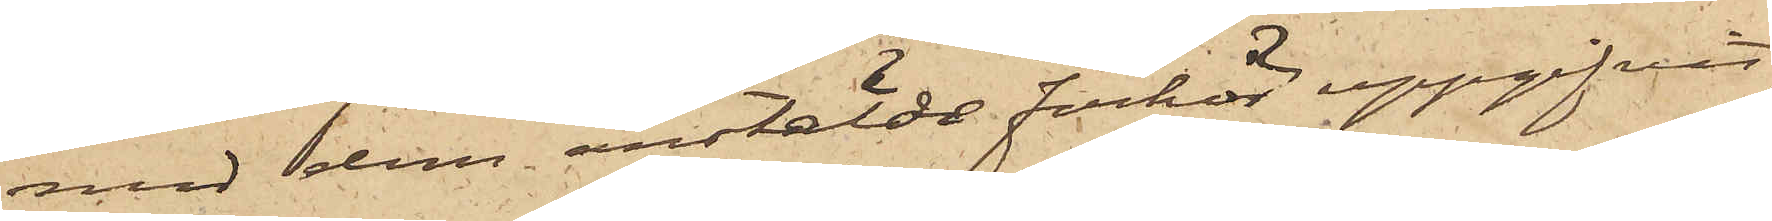med dem anstälde förhör uppgifvit,
